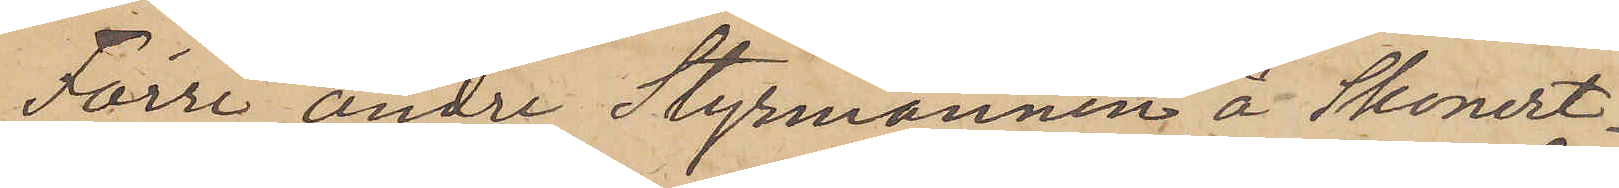Förre andre Styrmannen å Skonert¬
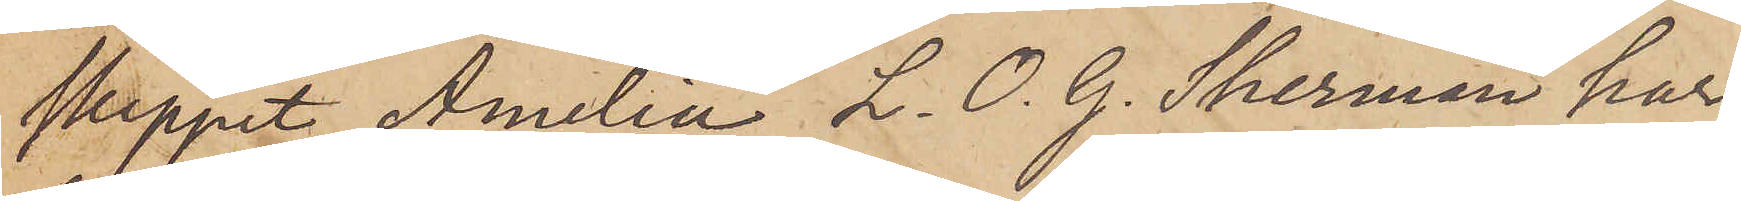skeppet Amelia L. O. G. Sherman har
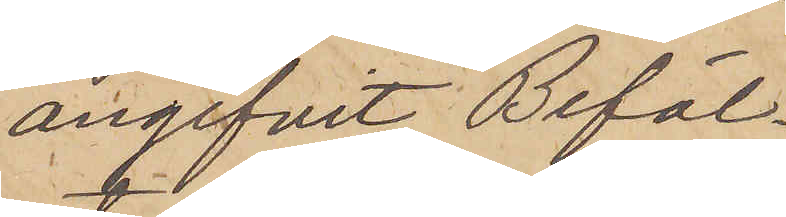angifvit Befäl¬
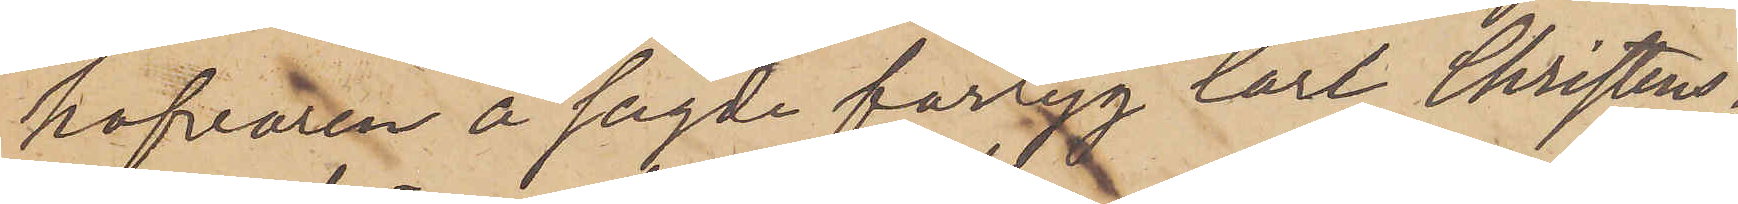hafvaren å sagde fartyg Carl Christens¬
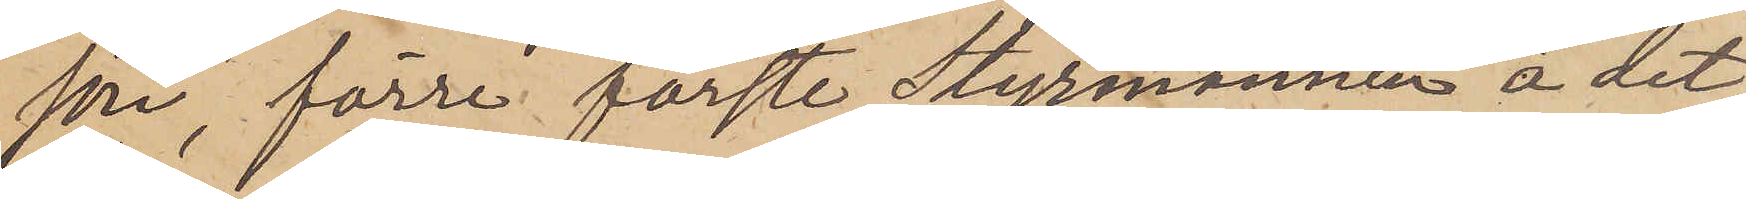son, förre förste Styrmannen å det
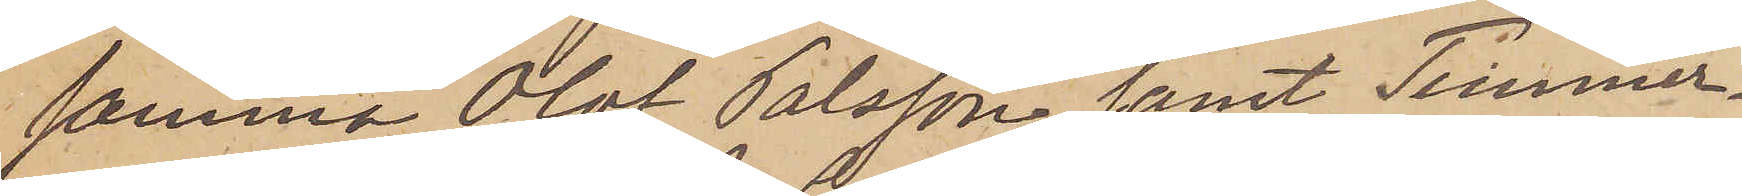samma Olof Pålsson samt Timmer¬
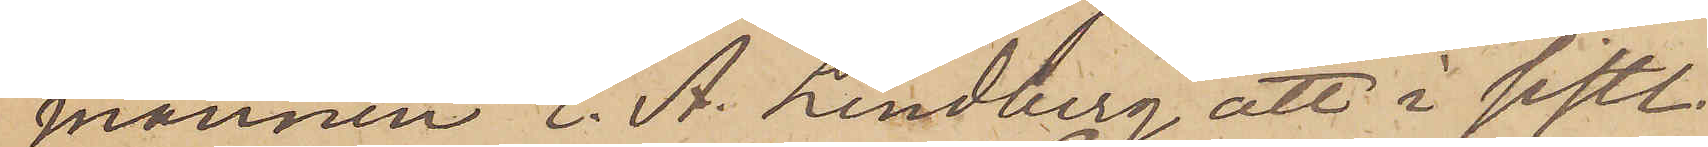mannen E. A. Lindberg att i sistl.
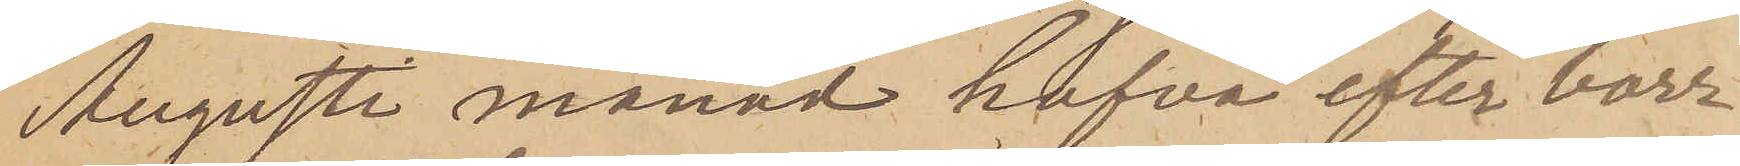Augusti månad hafva efter borr¬
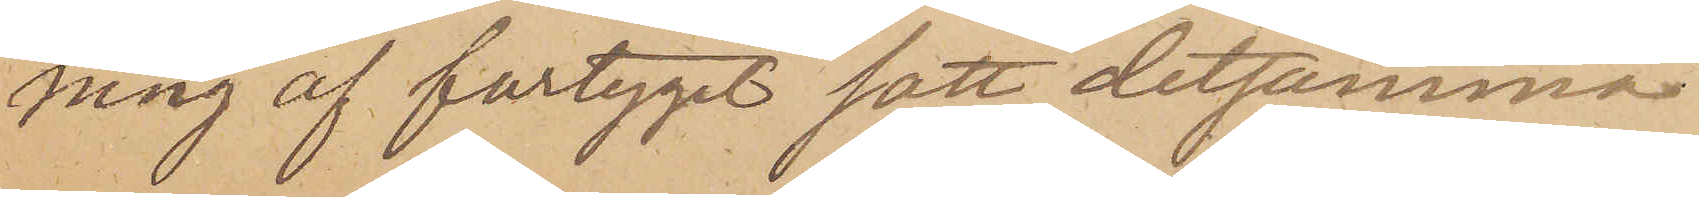ning af fartyget satt detsamma
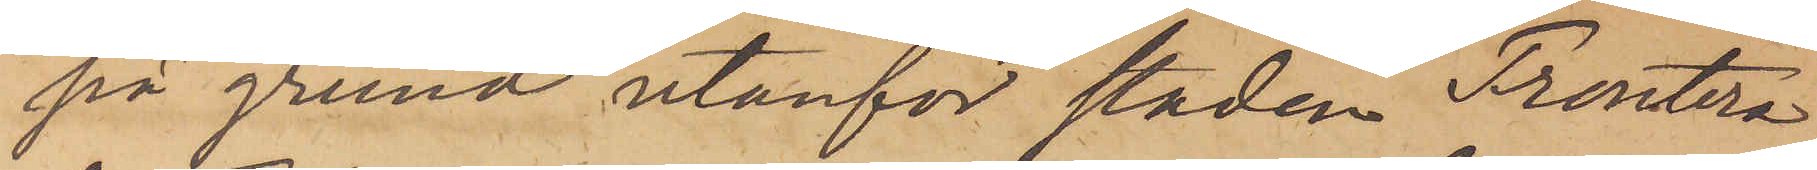på grund utanför staden Frontera
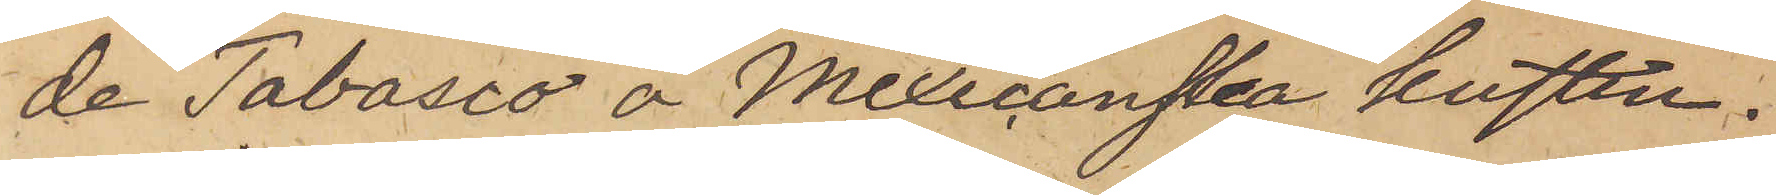de Tabasco å Mexicanska kusten.
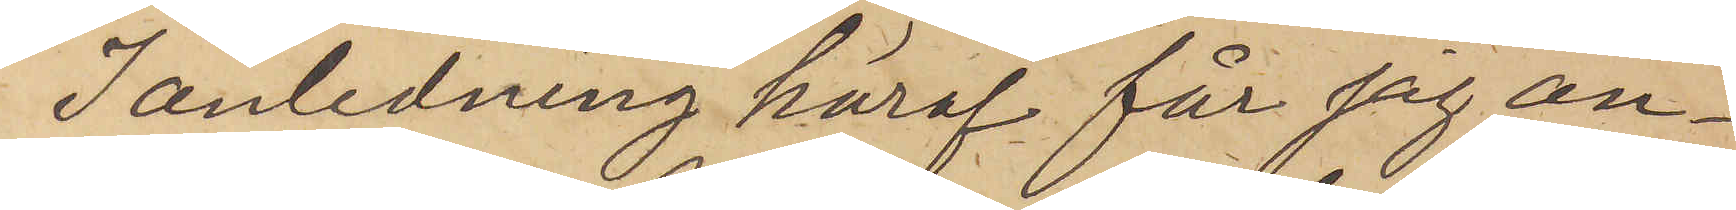I anledning häraf får jag an¬
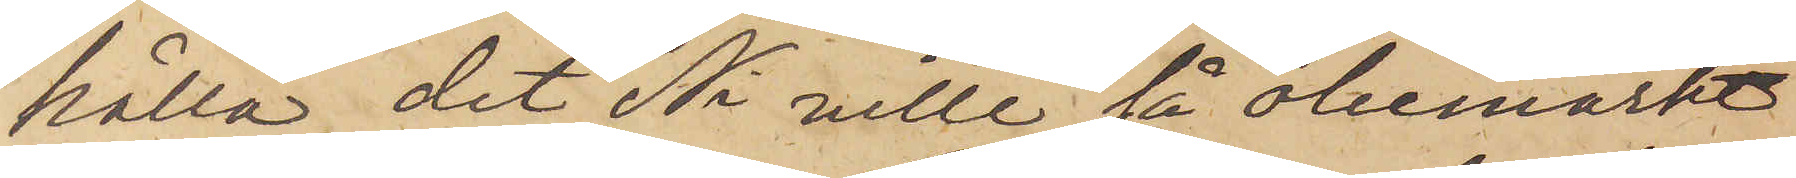hålla, det Ni ville så obemärkt
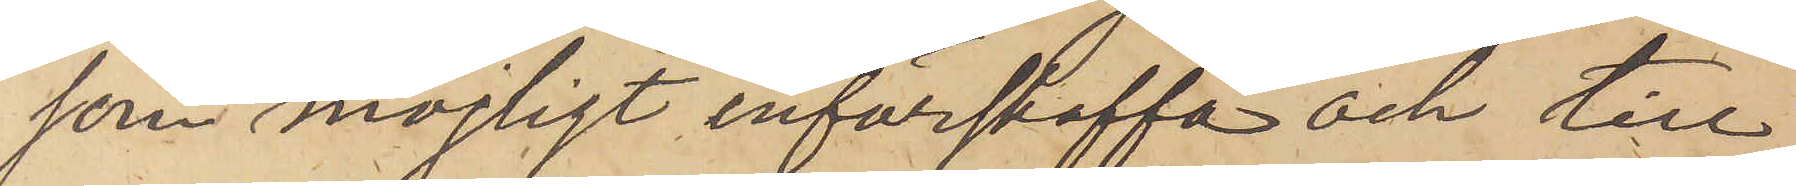som möjligt införskaffa och till
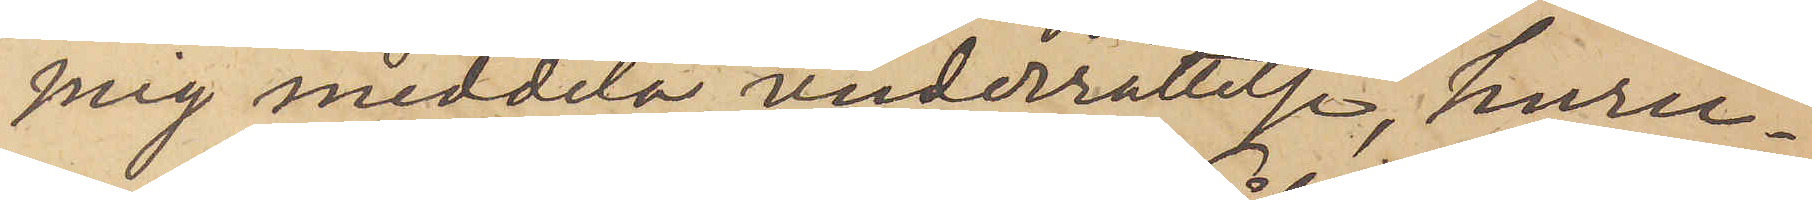mig meddela underrättelse, huru¬
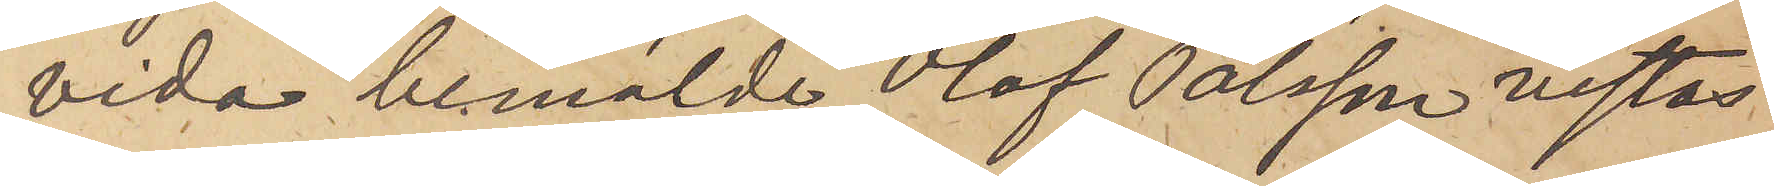vida bemälde Olof Pålsson vistas
